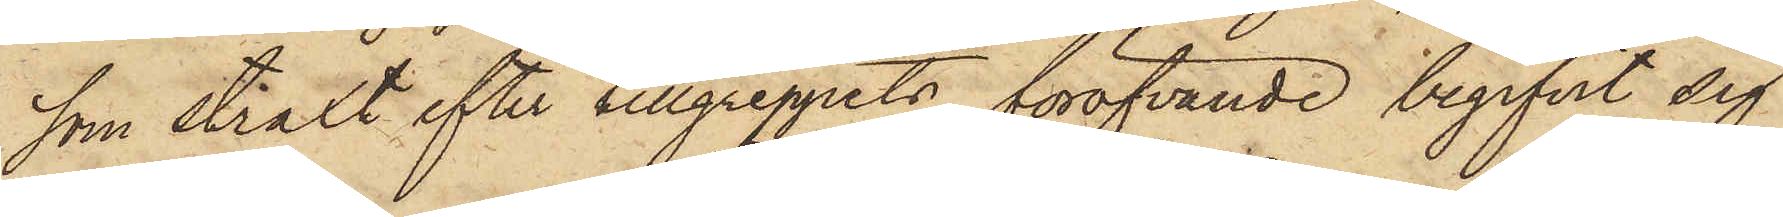som straxt efter tillgreppets föröfvande begifvit sig
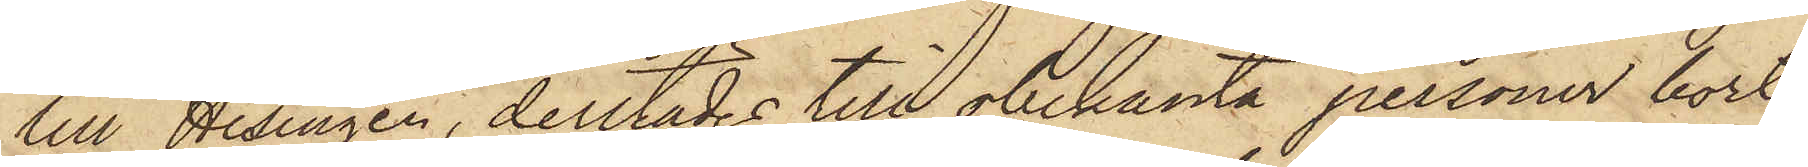till Hisingen, derstädes till obekanta personer bort¬
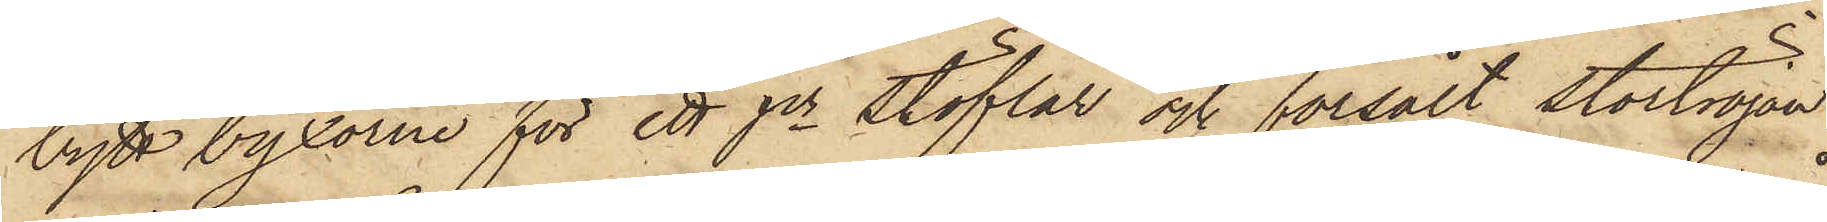bytt byxorne för ett pr stöflar och försålt stortröjan
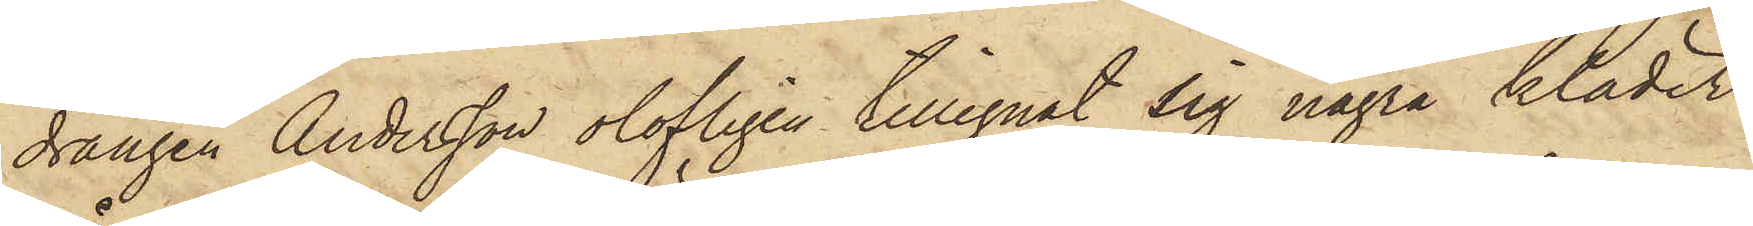drängen Andersson olofligen tillegnat sig några kläder
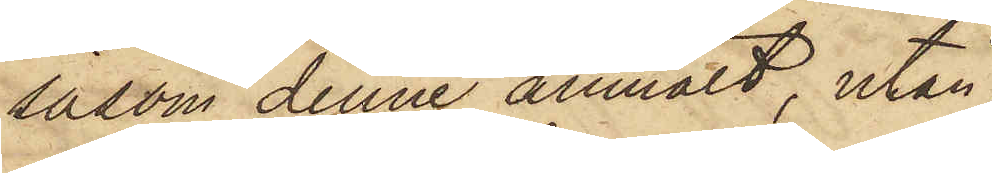såsom denne anmält, utan
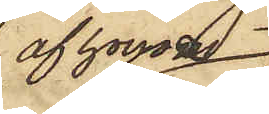af honom
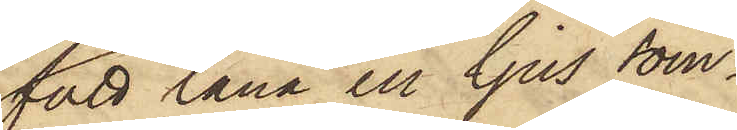fått låna ett ljus som¬
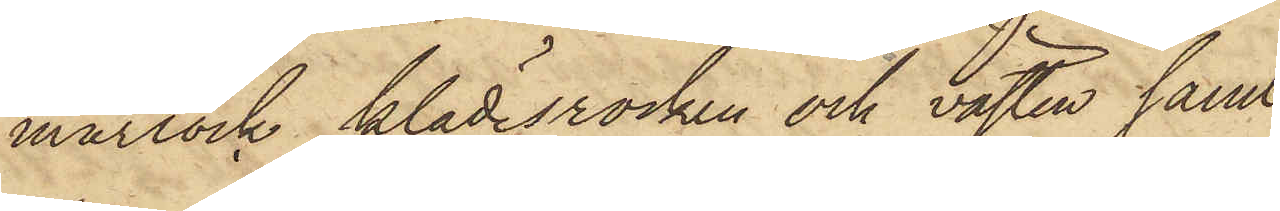marrock, klädesrocken och västen samt
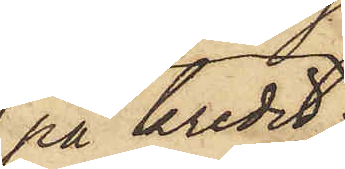på kredit
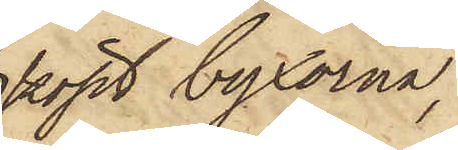köpt byxorna,
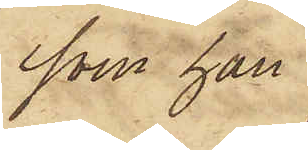som han
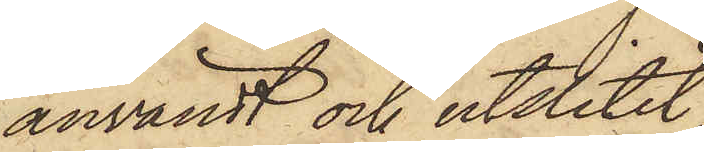användt och utslitit;
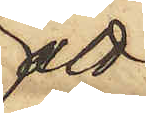att
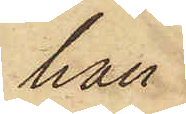han
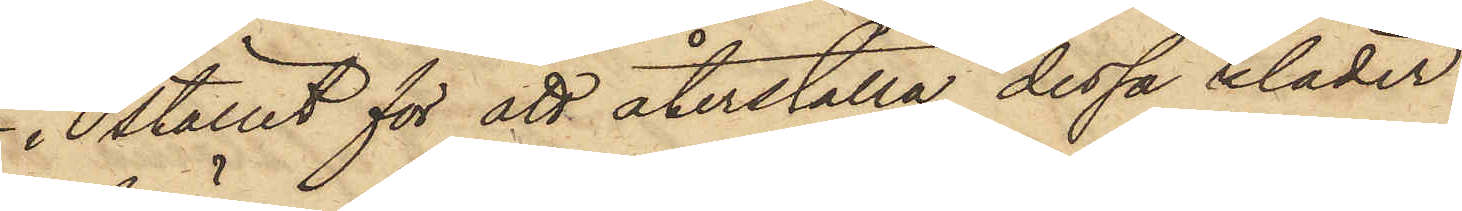i stället för att återställa dessa kläder
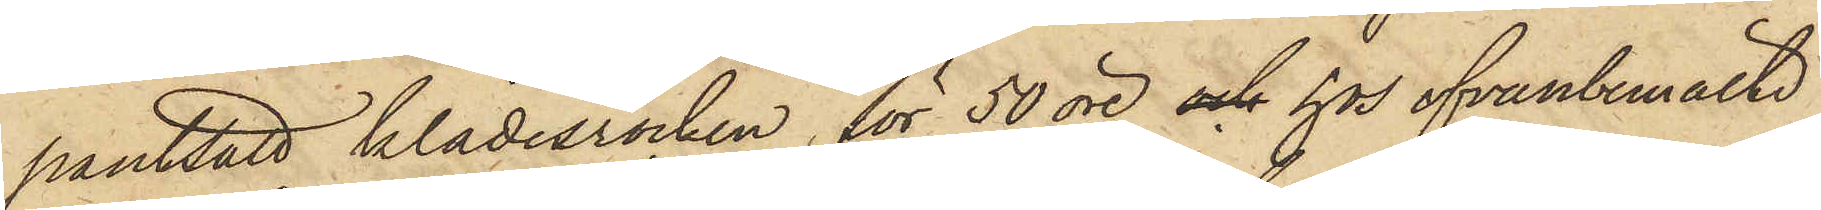pantsatt klädesrocken för 50 öre och hos ofvanbemälte
